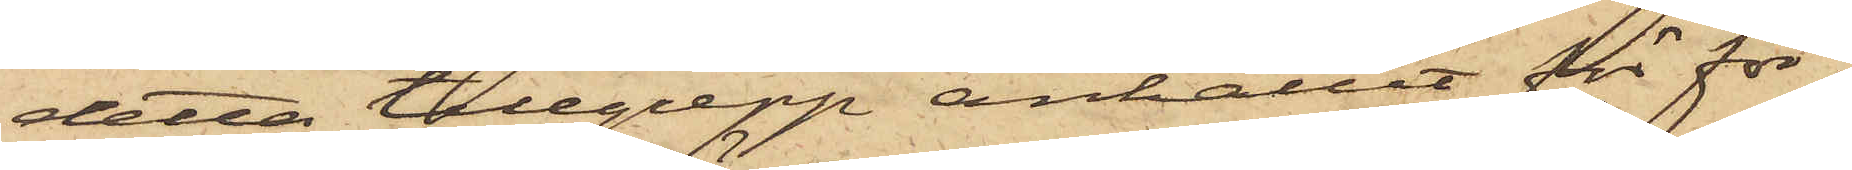detta tillgrepp anhållit för för¬
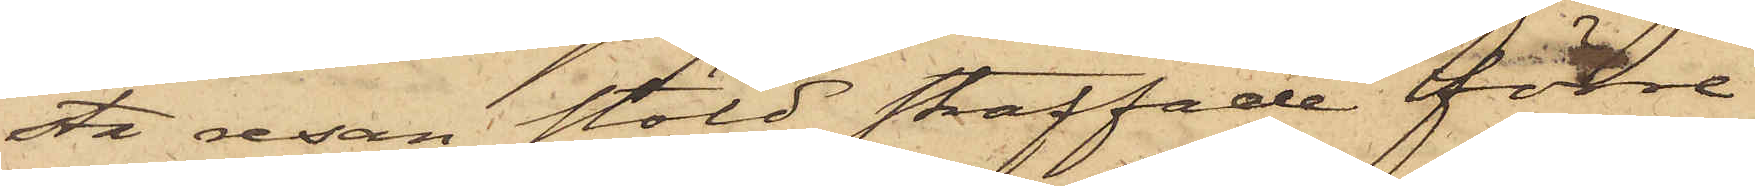sta resan stöld straffade förre
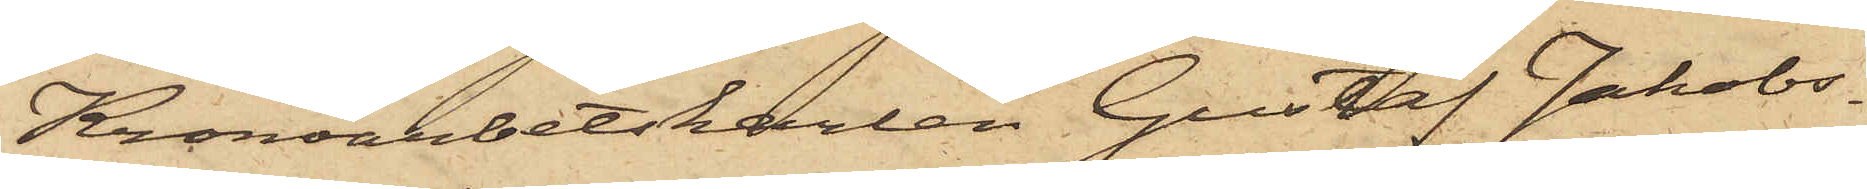Kronoarbetskarlen Gustaf Jakobs¬
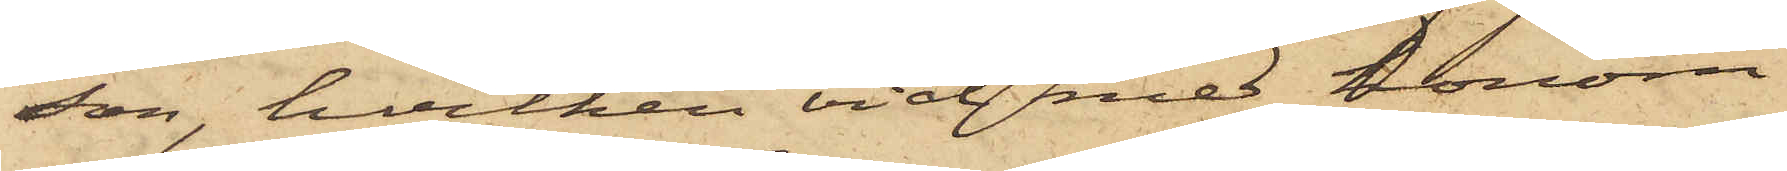son, hvilken vid med honom
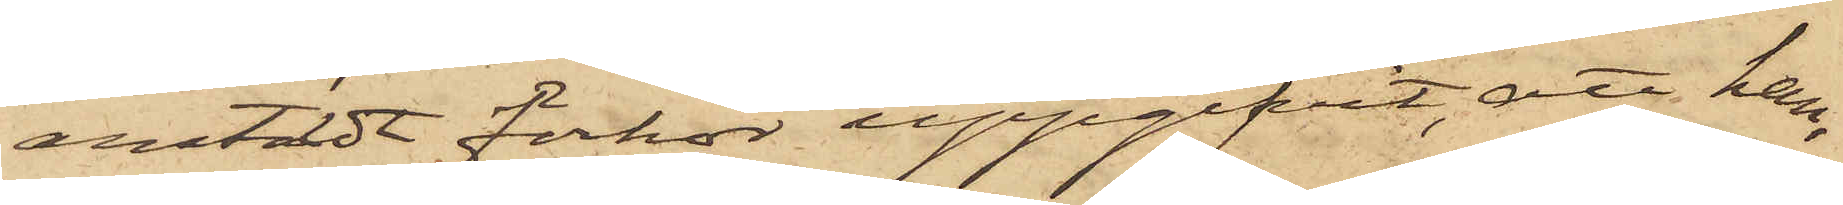anstäldt förhör uppgifvit, att han,
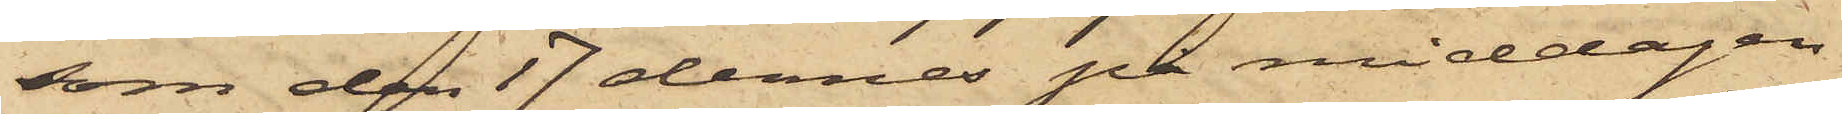som den 17 dennes på middagen
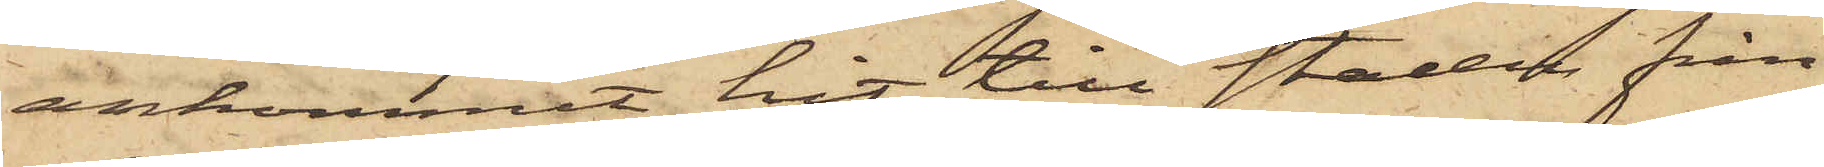ankommit hit till staden från
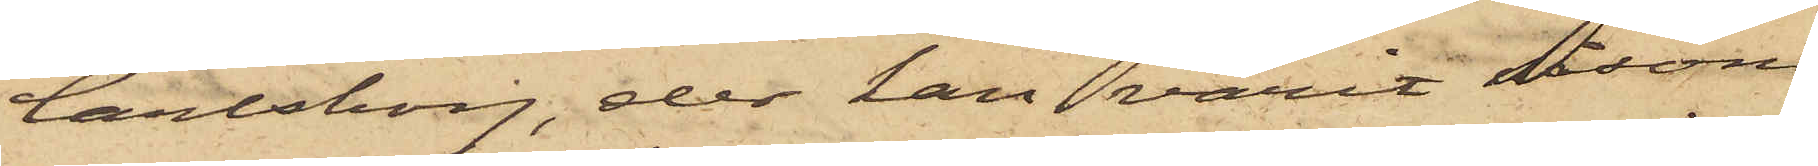Carlsborg, der han varit såsom
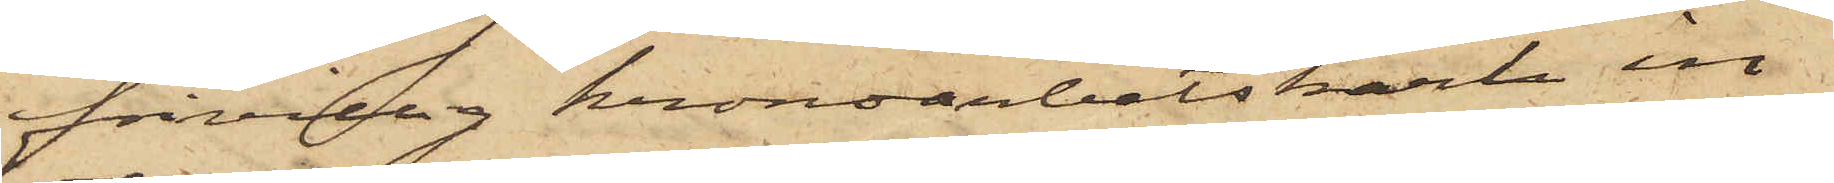frivillig kronoarbetskarl in¬
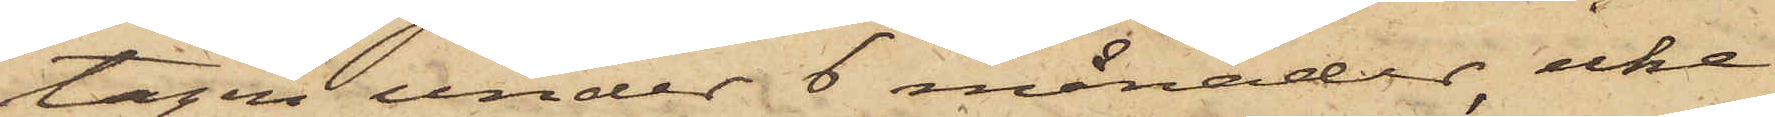tagen under 6 månader, icke
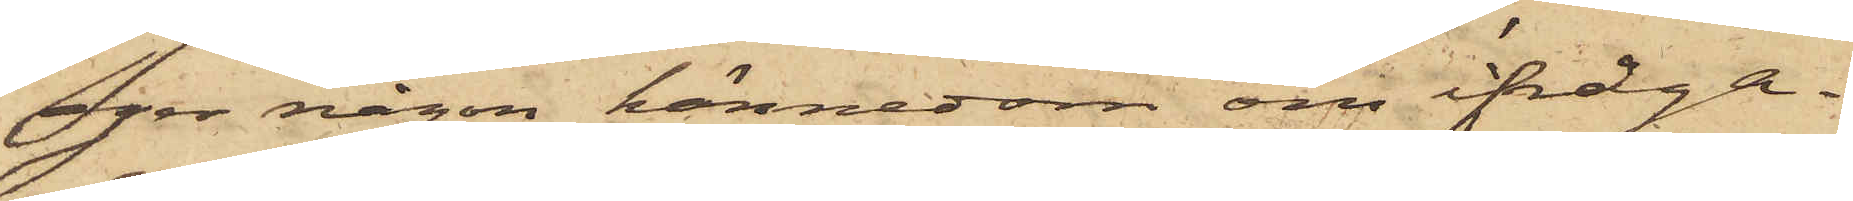eger någon kännedom om ifråga¬
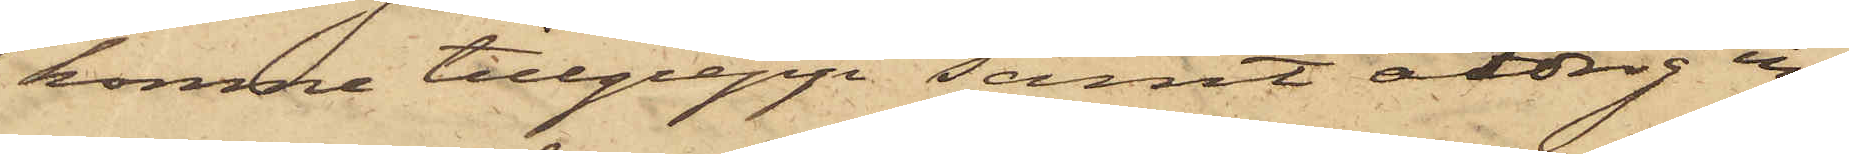komne tillgrepp samt aldrig in¬
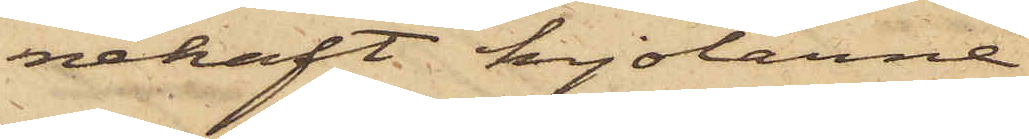nehaft kjolarne.
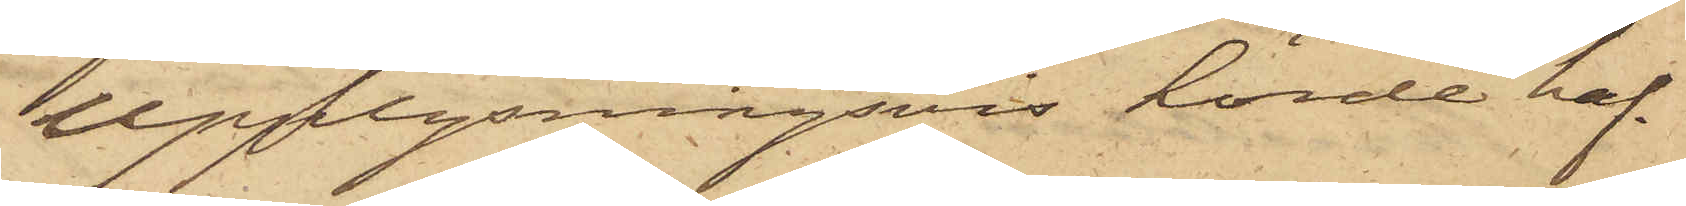Upplysningsvis hörde haf¬
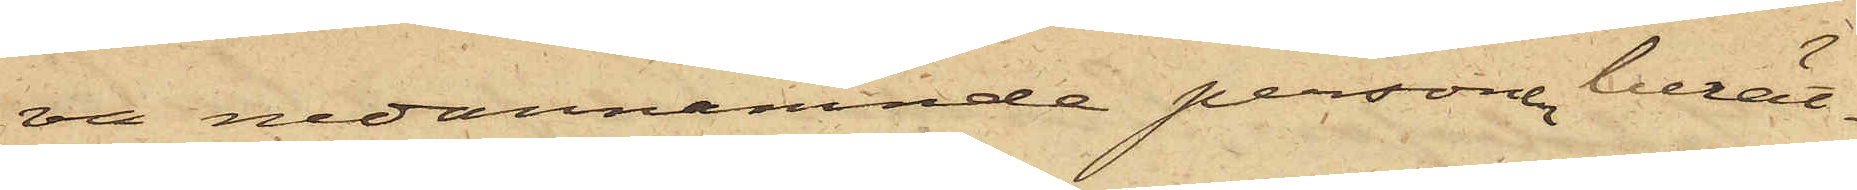va nedannämnde persone berät¬
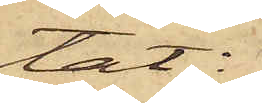tat:
